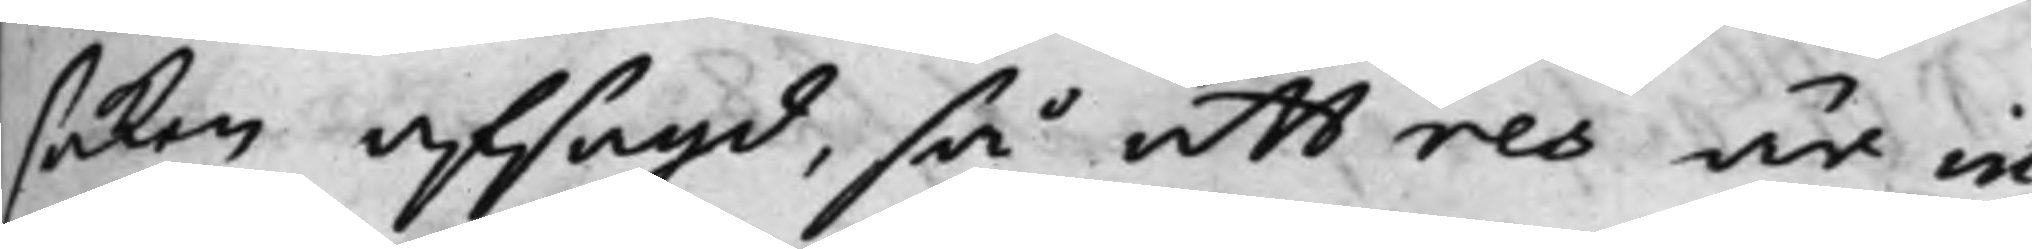saken afsagd, så att res är in¬
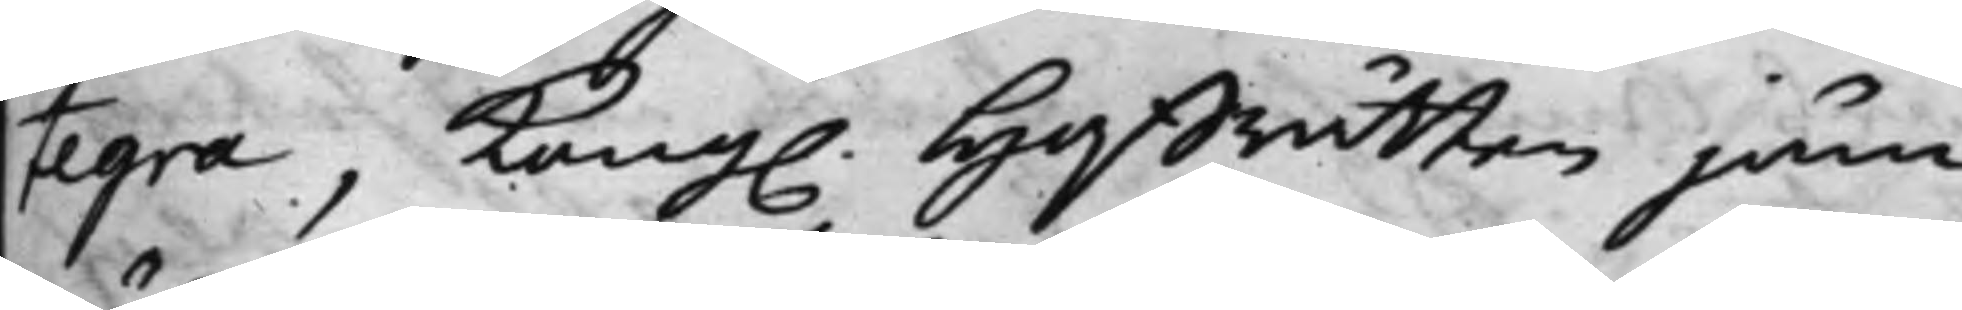tegra, Kong. Hoffrätten jäm¬
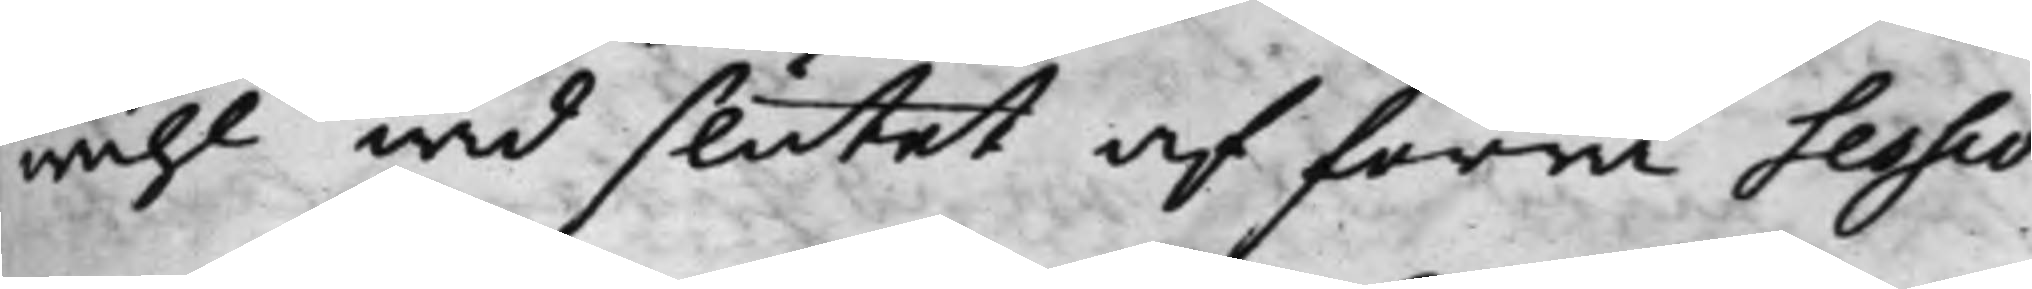wähl wid slutet af förra Sessio¬
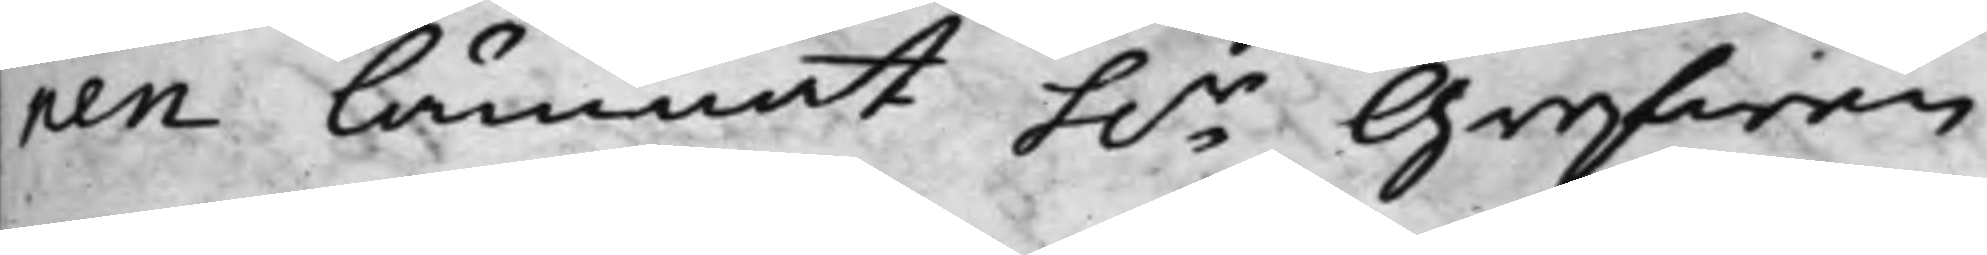nen lämnat h.r Grefwen
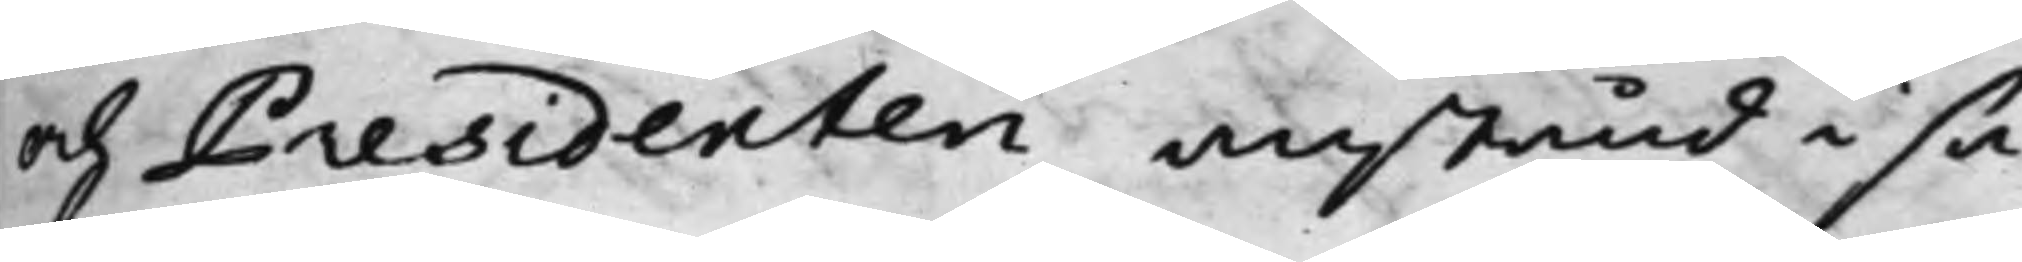och Presidenten anstånd i sa¬
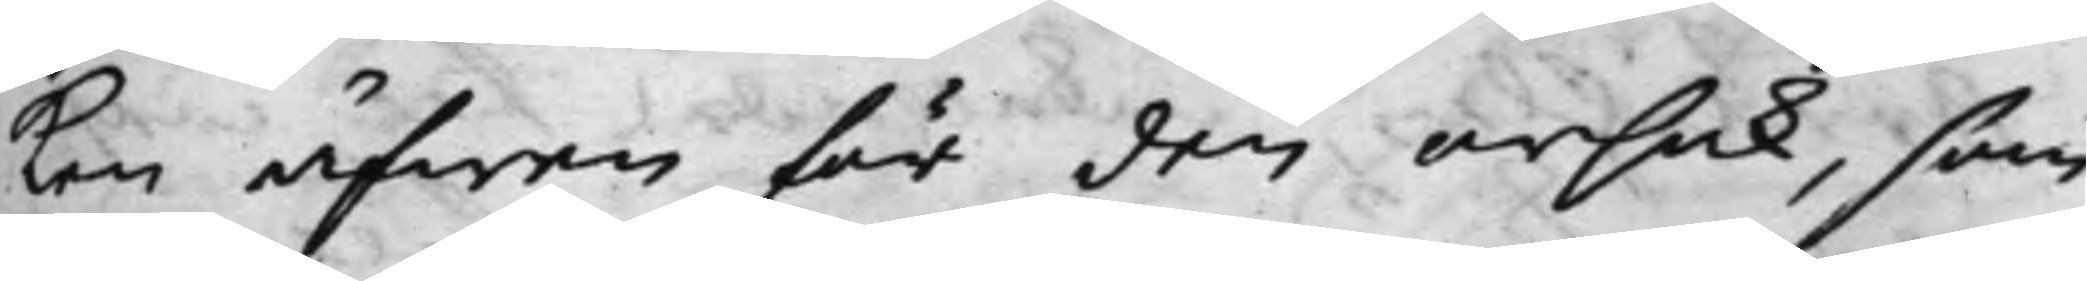ken äfwen för den orsak, som
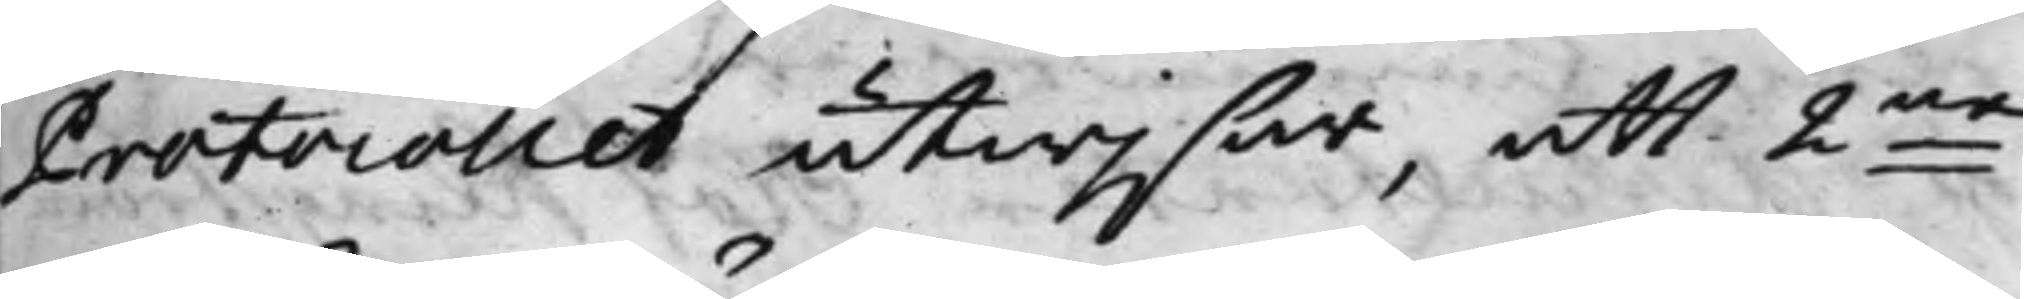Protocollet utwisar, att 2ne
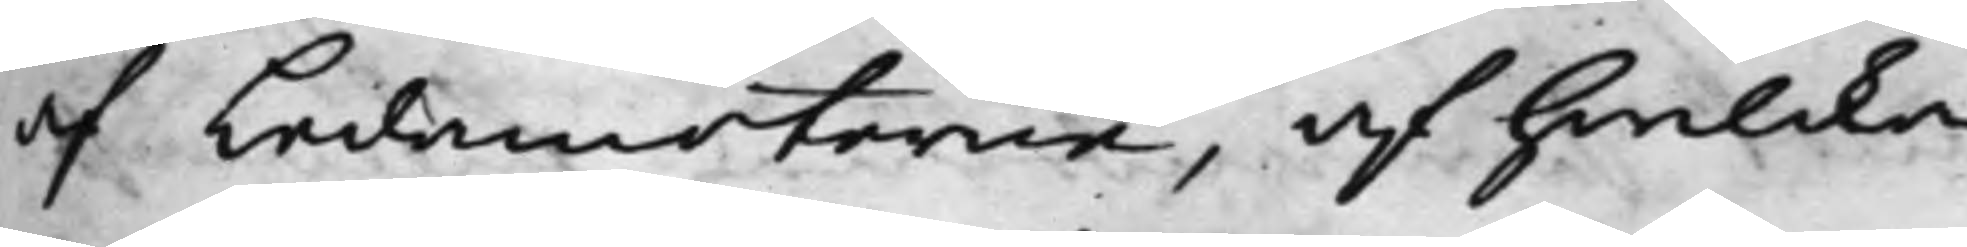af Ledamöterne, af hwilcka
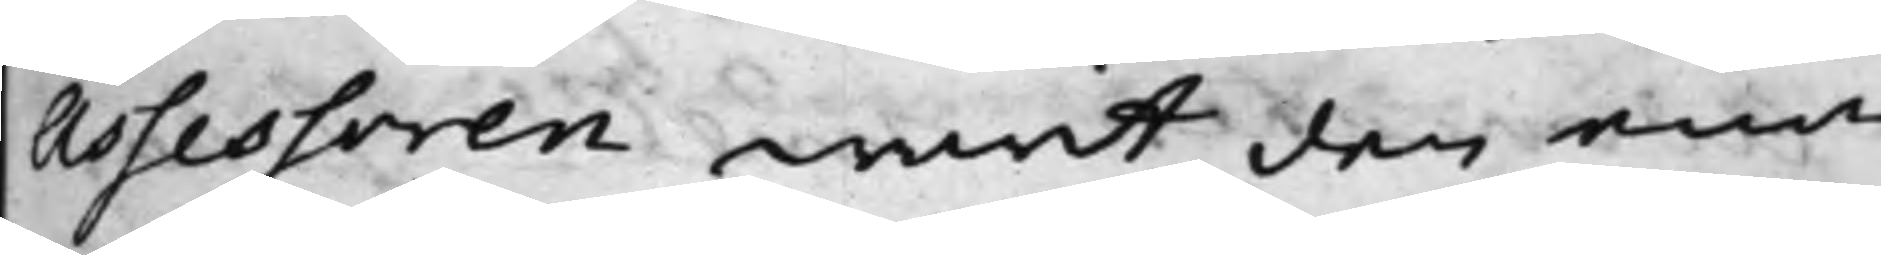Assessoren warit den ena,
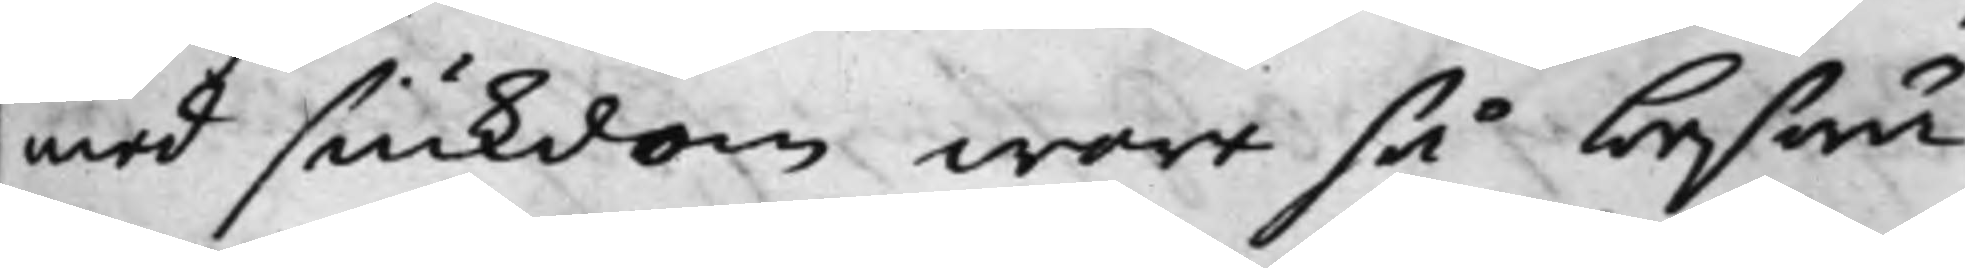med siukdom wore så beswä¬
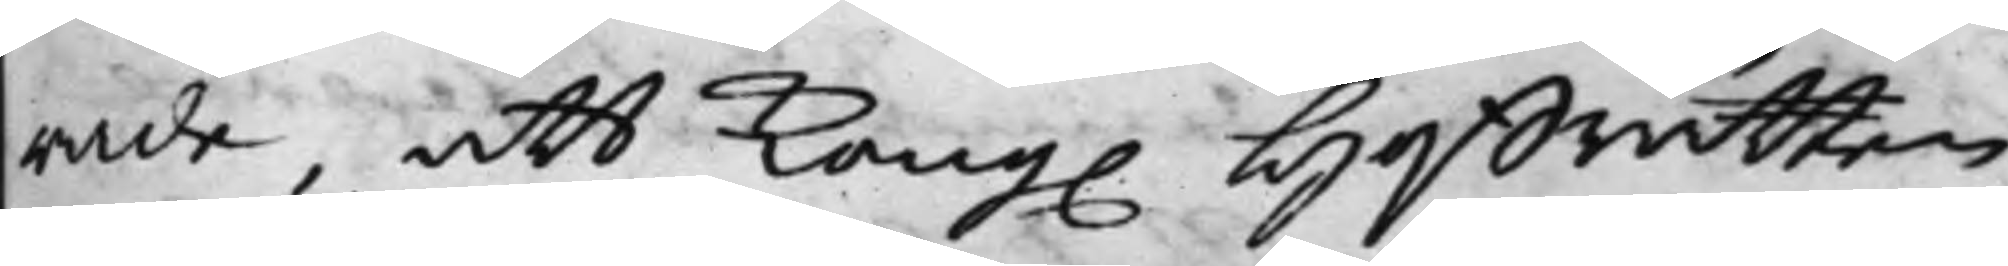rade, att Kong. Hoffrätten
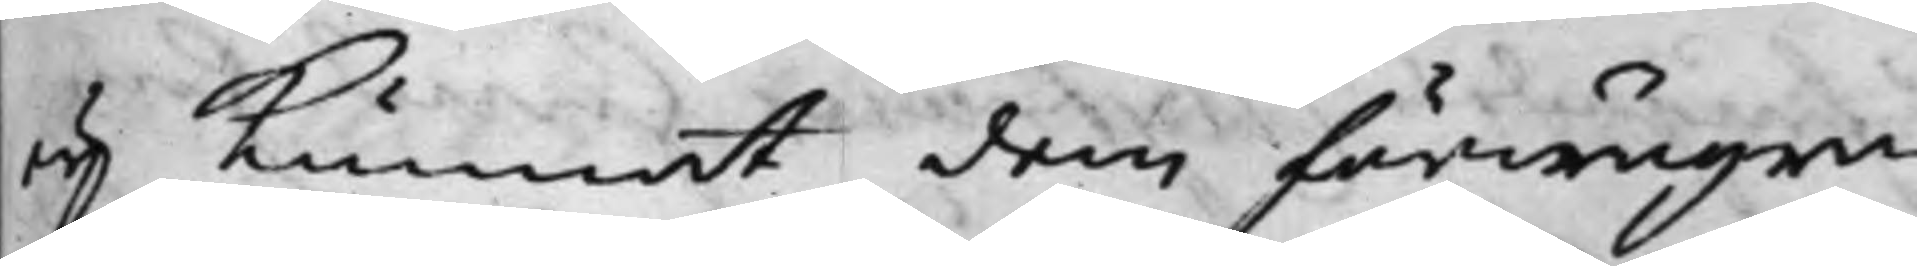eij kunnat dem förwägra
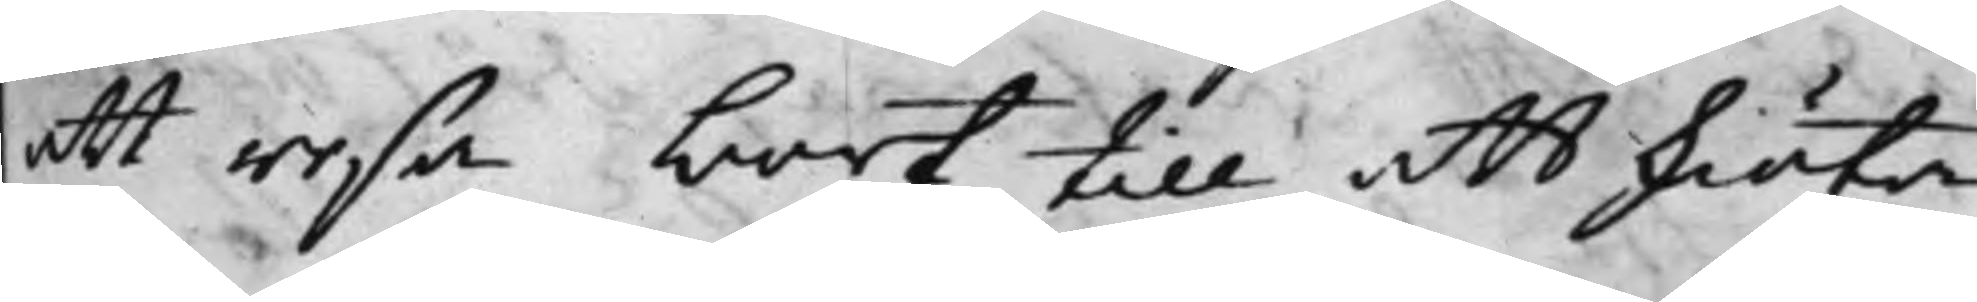att resa bort till att skiöta
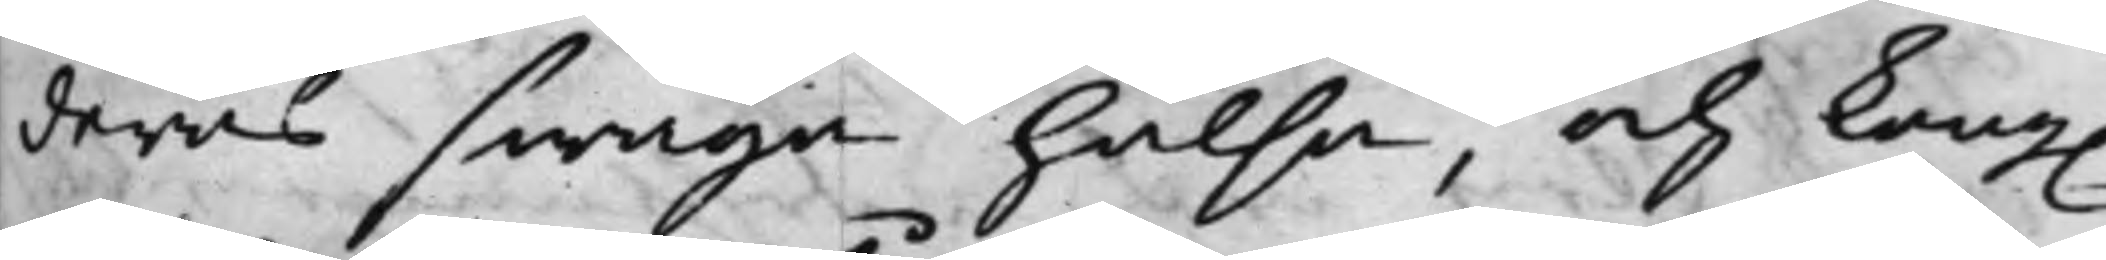deras swaga hälsa, och Kong.
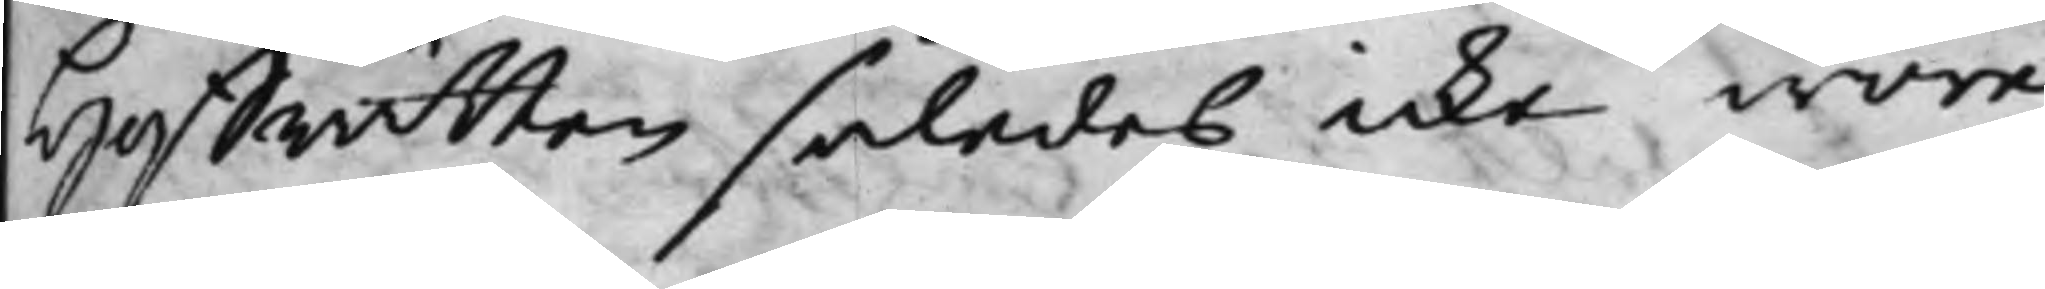Hoffrätten således icke wore
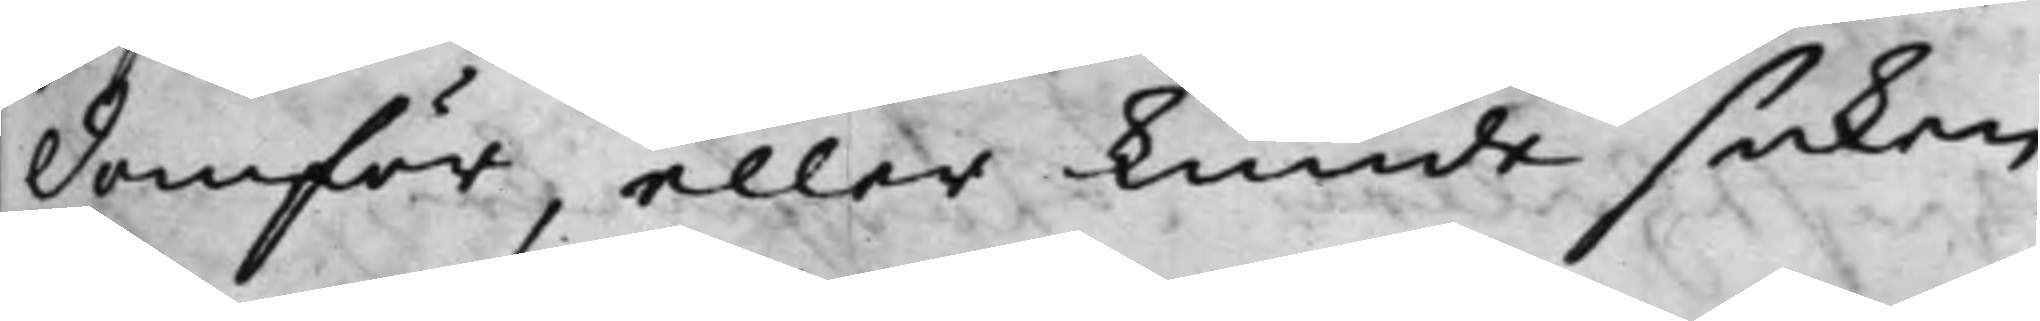domför, eller kunde saken
